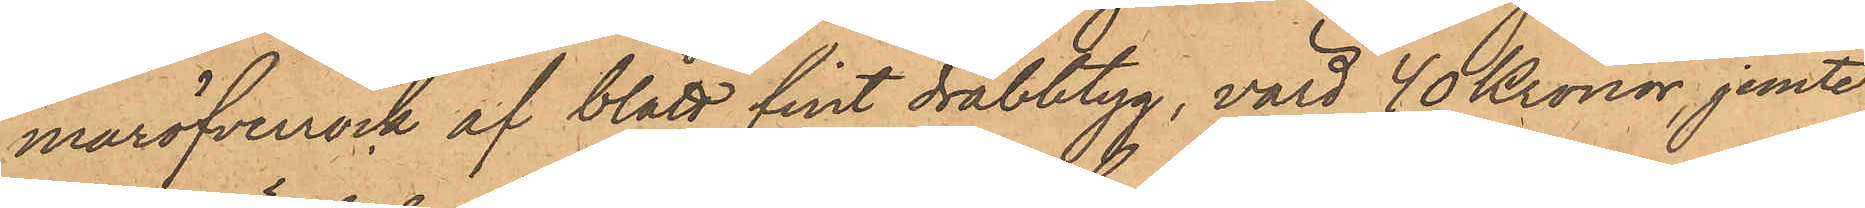maröfverrock af blått fint drabbtyg, värd 40 Kronor, jemte
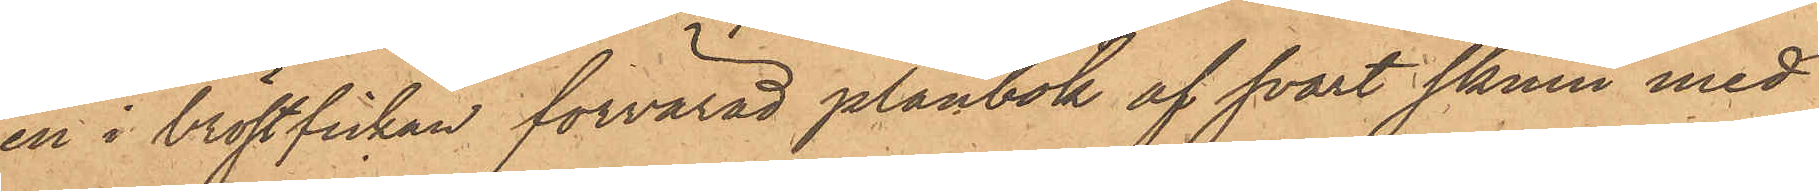en i bröstfickan förvarad plånbok af svart skinn med
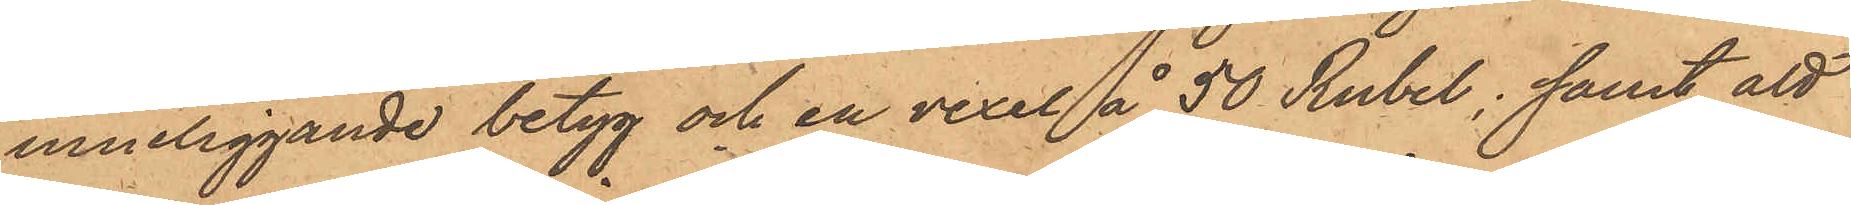inneliggande betyg och en vexel å 50 Rubel; samt att
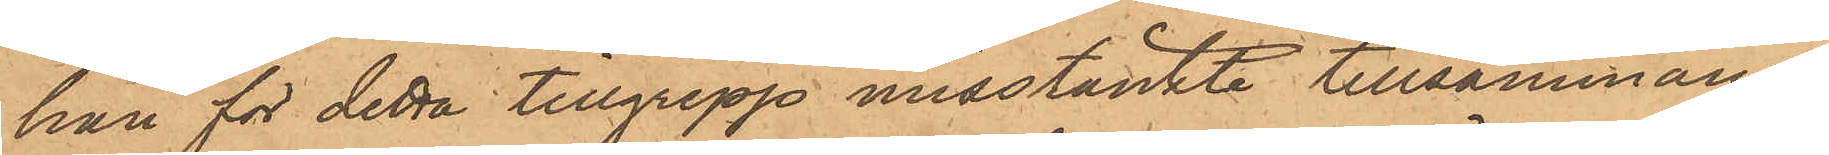han för detta tillgrepp misstänkte tillsammans
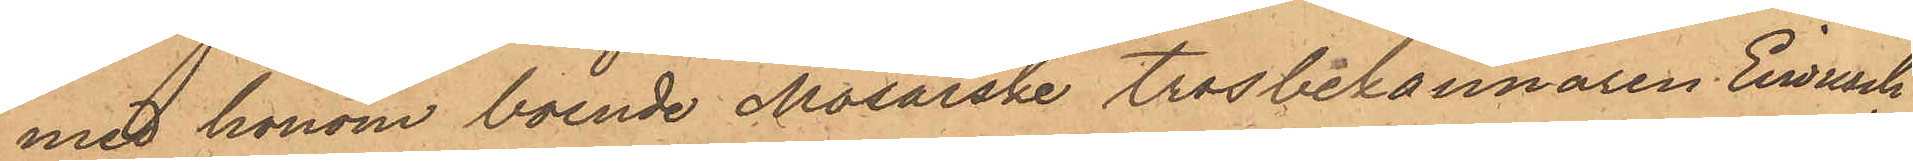med honom boende Mosaiske trosbekännaren Eirnrisch
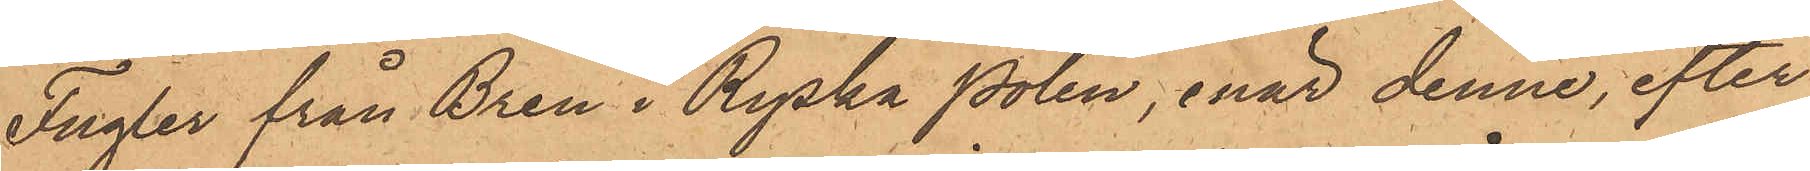Fugler från Bren i Ryska Polen, enär denne, efter
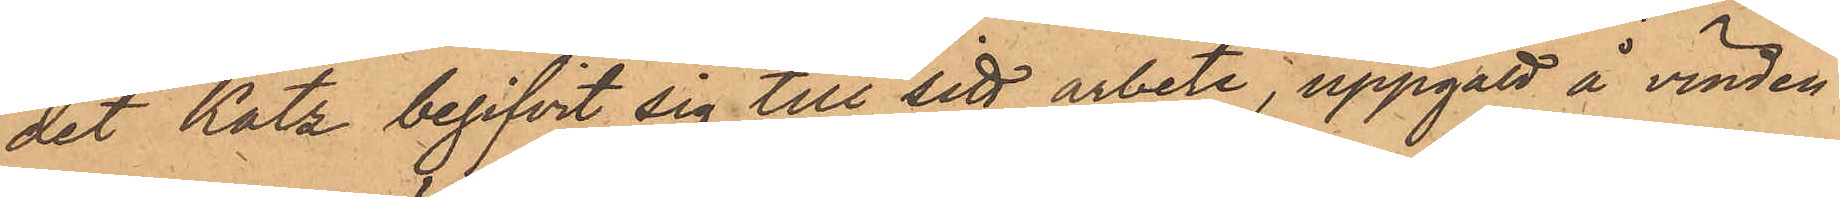det Katz begifvit sig till sitt arbete, uppgått å vinden
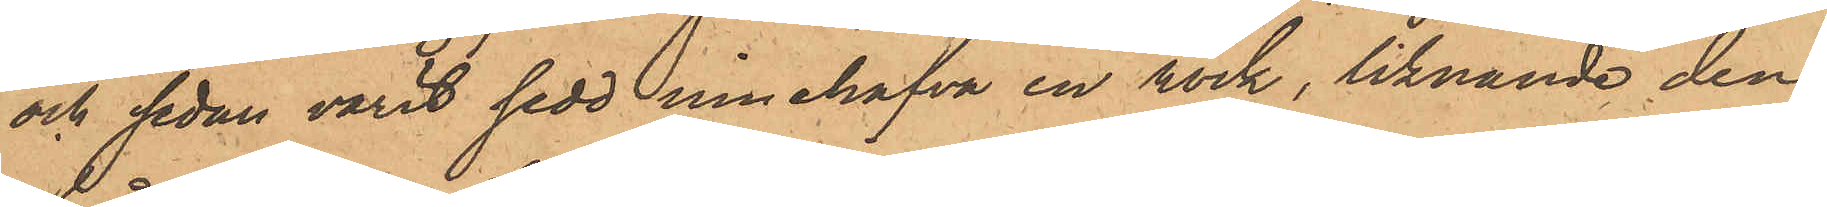och sedan varit sedd innehafva en rock, liknande den
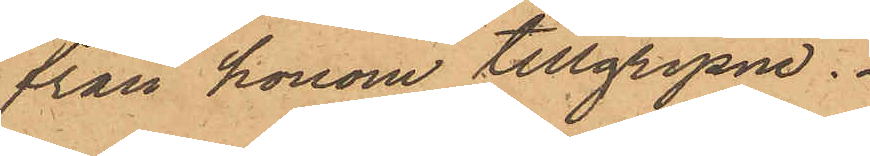från honom tillgripne.
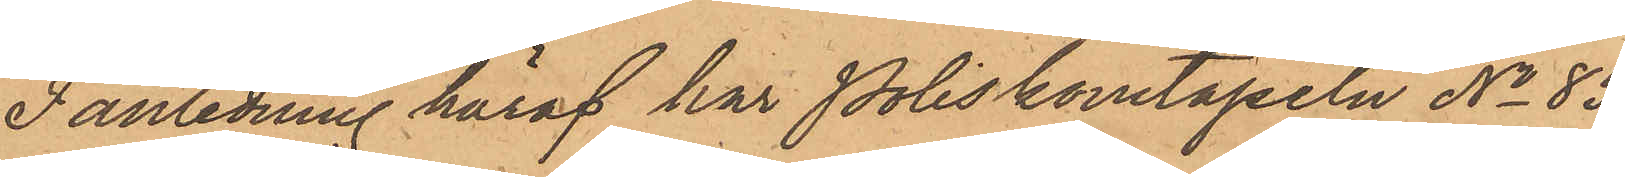I anledning häraf har Poliskonstapeln No 85
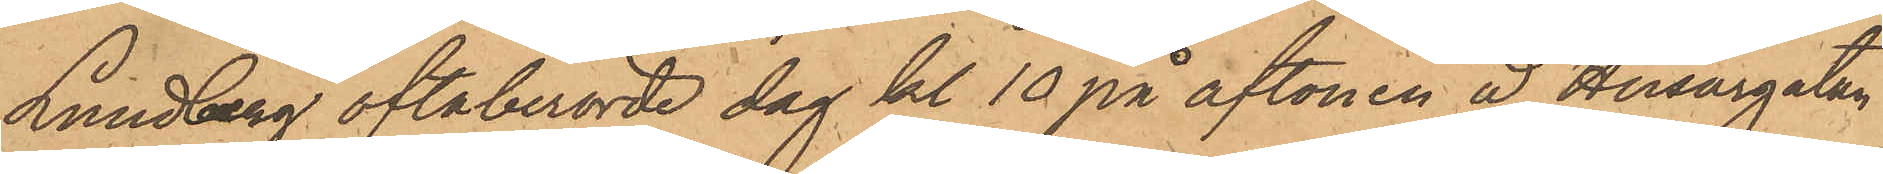Lundberg oftaberörde dag kl. 10 på aftonen å Husargatan
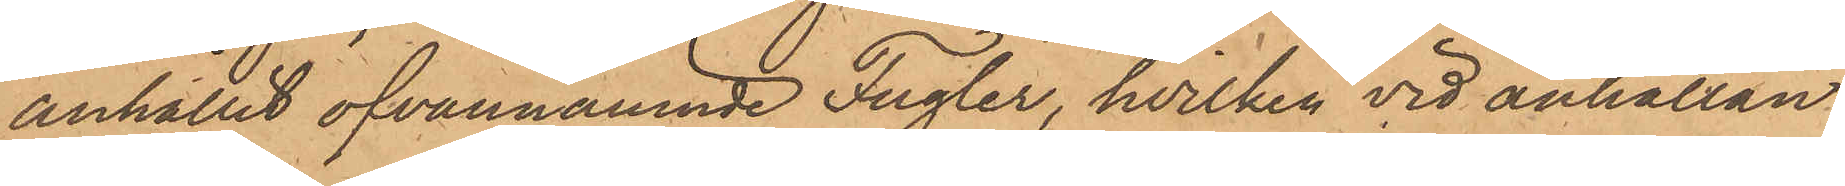anhållit ofvannämnde Fugler, hvilken vid anhållan¬
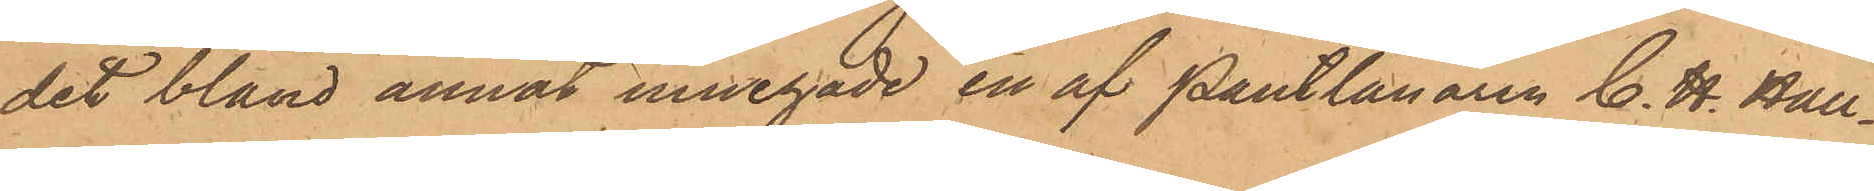det bland annat innehade en af Pantlånaren C. H. Hall¬
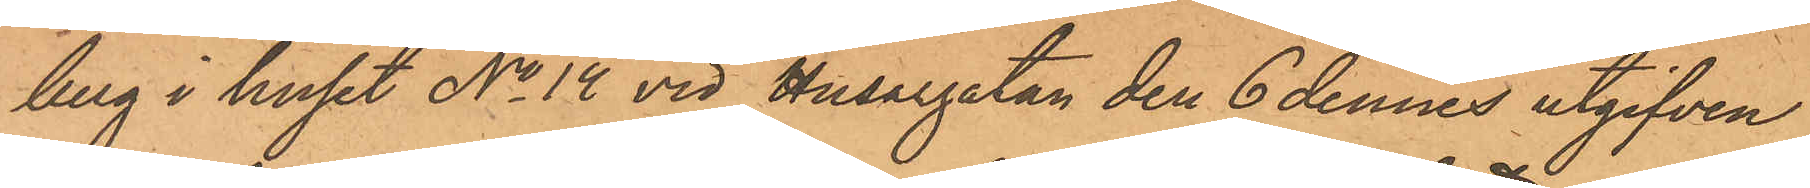berg i huset No 14 vid Husargatan den 6 dennes utgifven
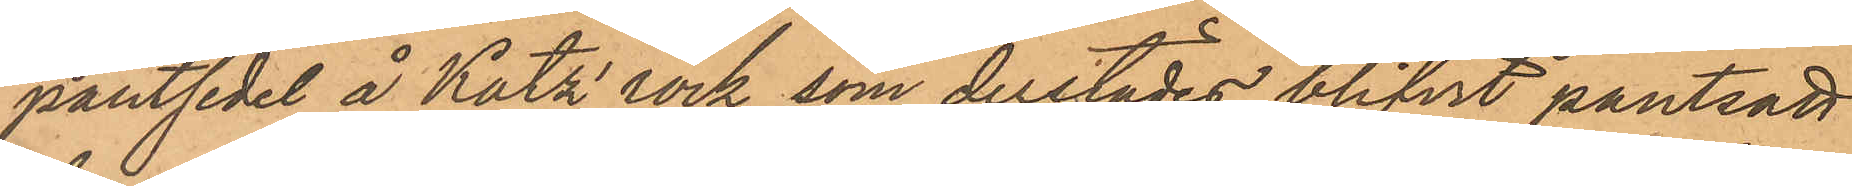pantsedel å Katz' rock, som derstädes blifvit pantsatt
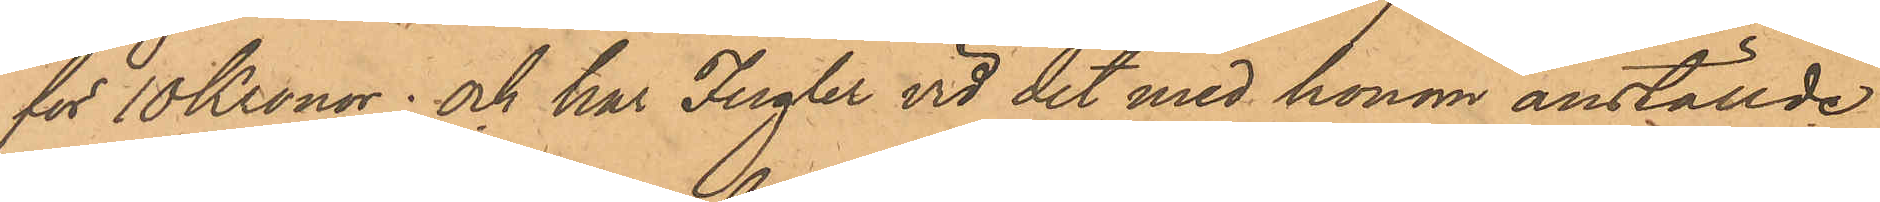för 10 Kronor; och har Fugler vid det med honom anställde
